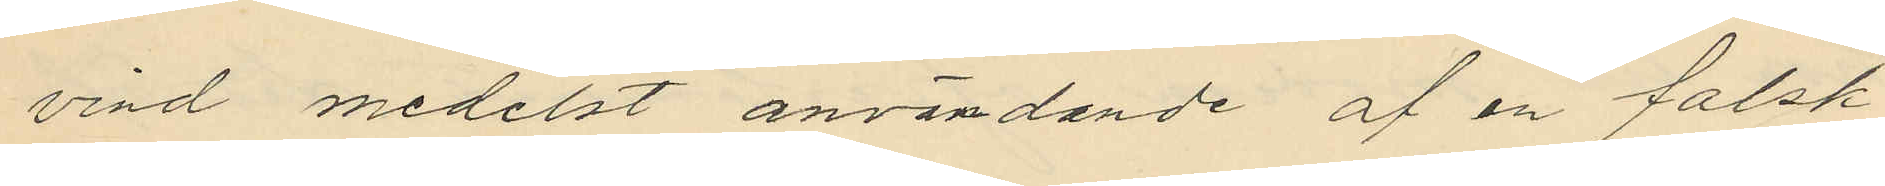vind medelst användande af en falsk
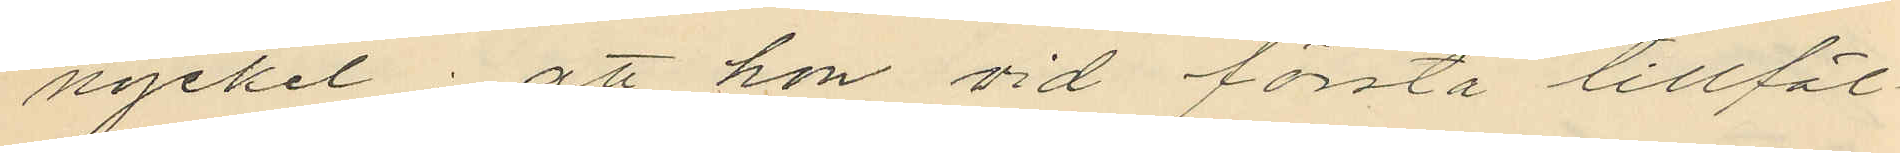nyckel; att hon vid första tillfäl¬
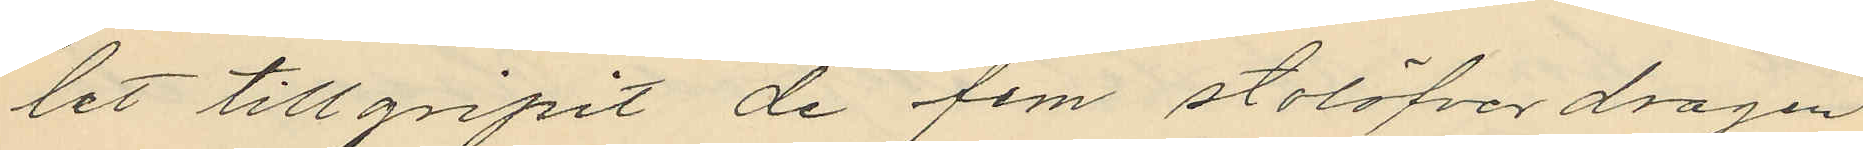let tillgripit de fem stolöfverdragen
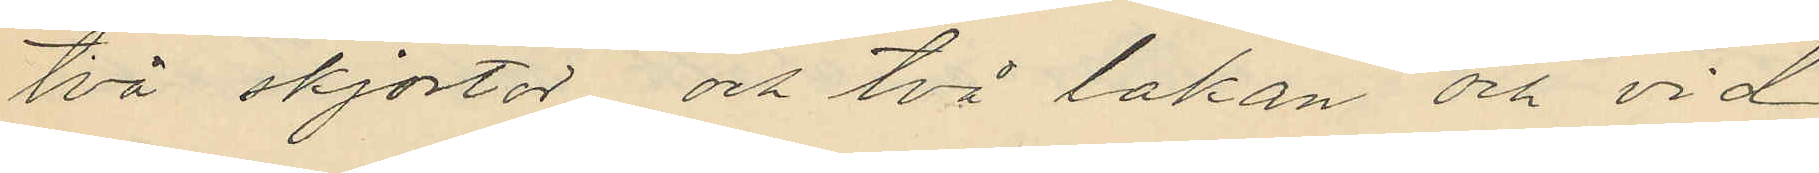två skjortor och två lakan och vid
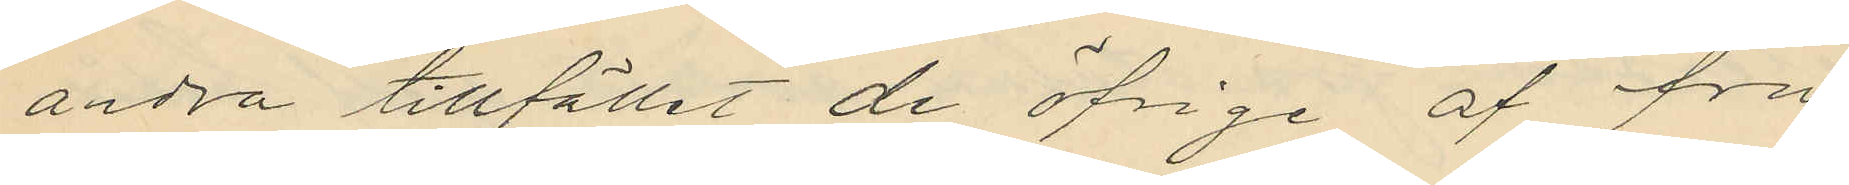andra tillfället de öfrige af fru
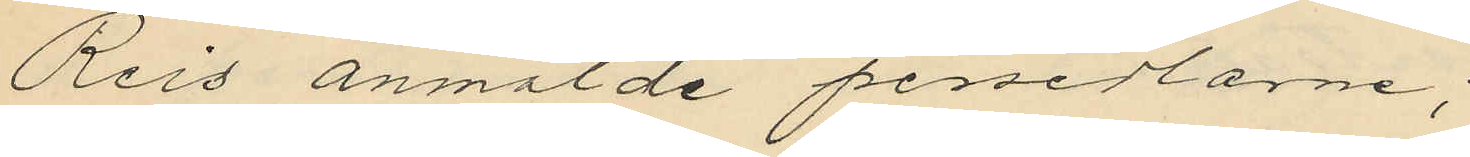Reis anmälde persedlarne;
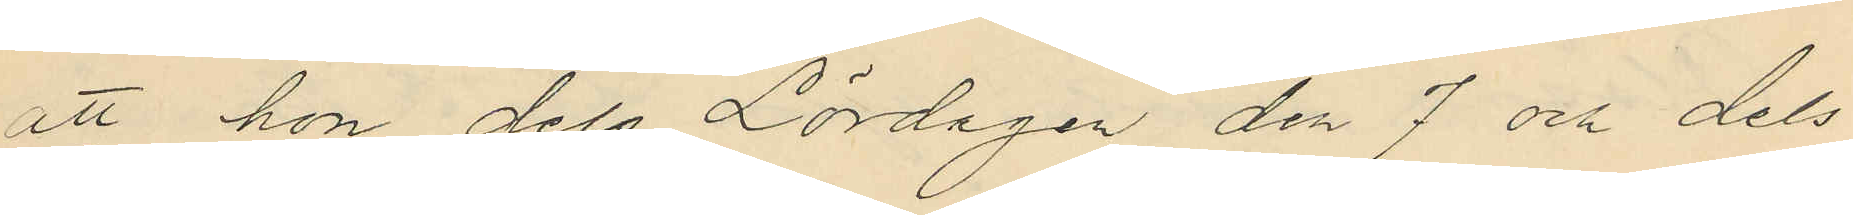att hon dels Lördagen den 7 och dels
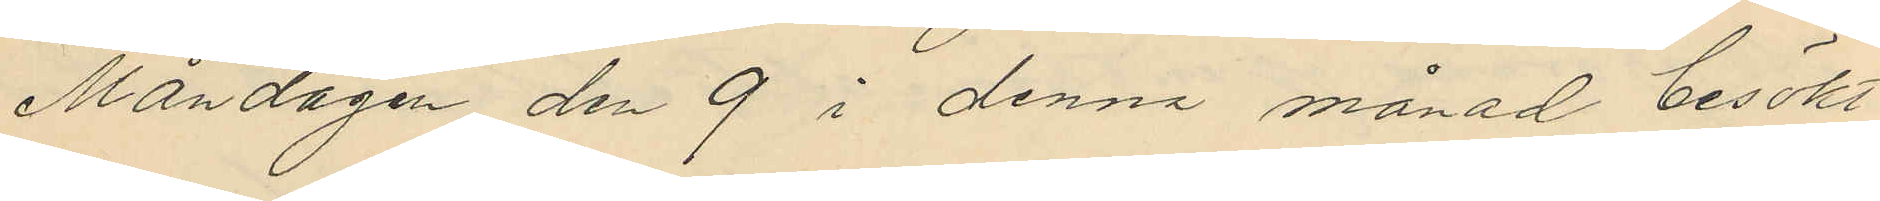Måndagen den 9 i denna månad besökt
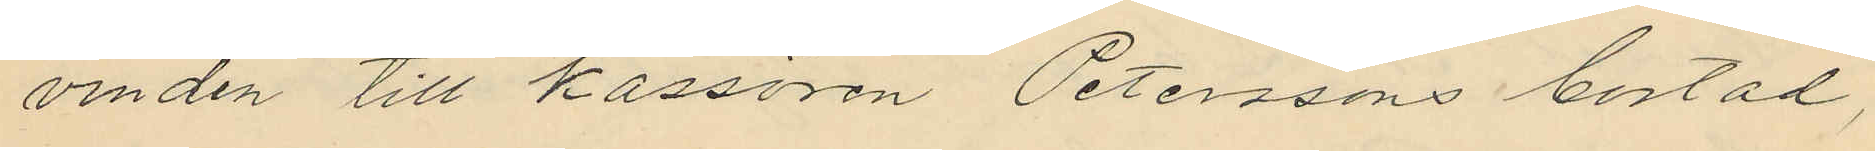vinden till kassören Peterssons bostad,
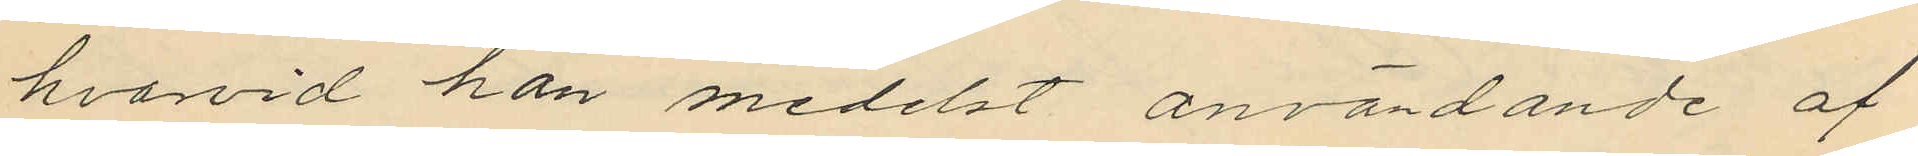hvarvid hon medelst användande af
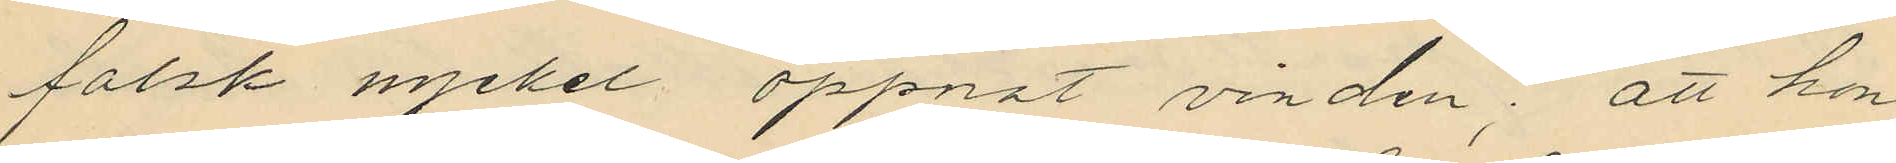falsk nyckel öppnat vinden; att hon
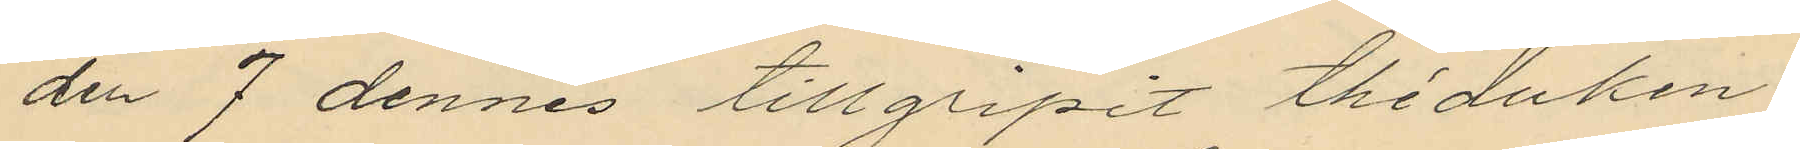den 7 dennes tillgripit théduken
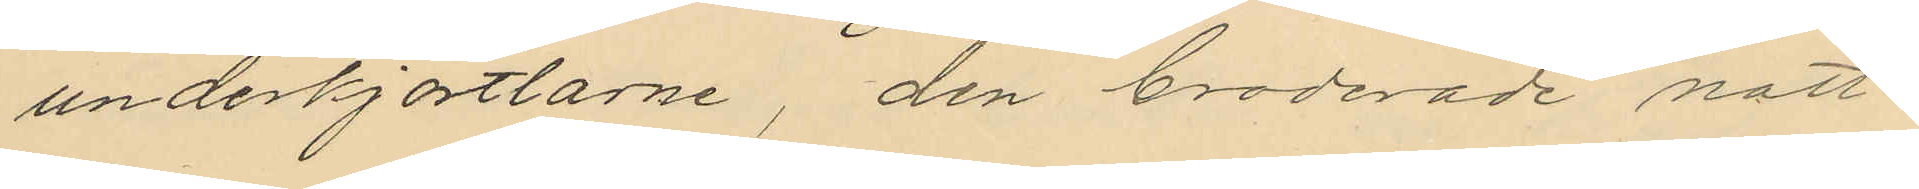underkjortlarne, den broderade natt¬
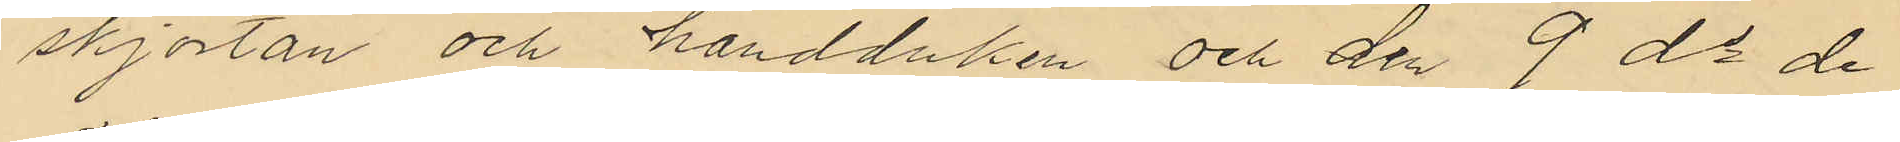skjortan och handduken och den 9 ds de
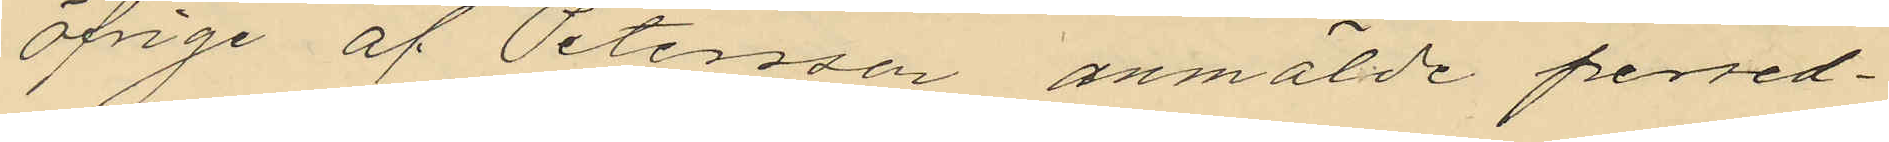öfrige af Petersson anmälde persed¬
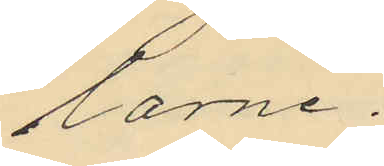larne.
